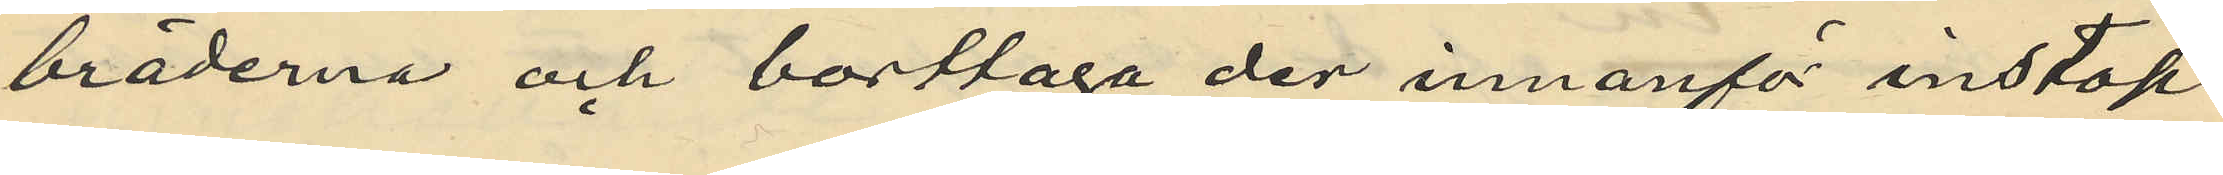bräderna och borttaga der innanför instop¬
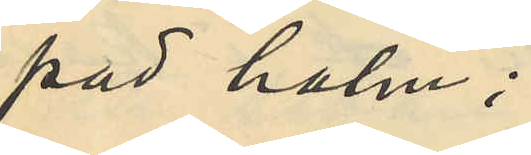pad halm;
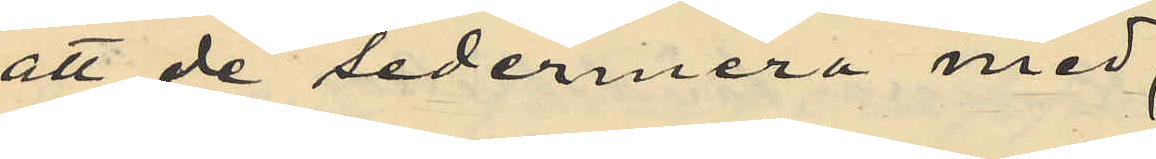att de sedermera med
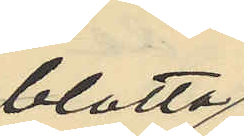blotta
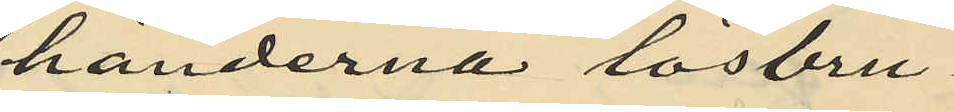händerna lösbru¬
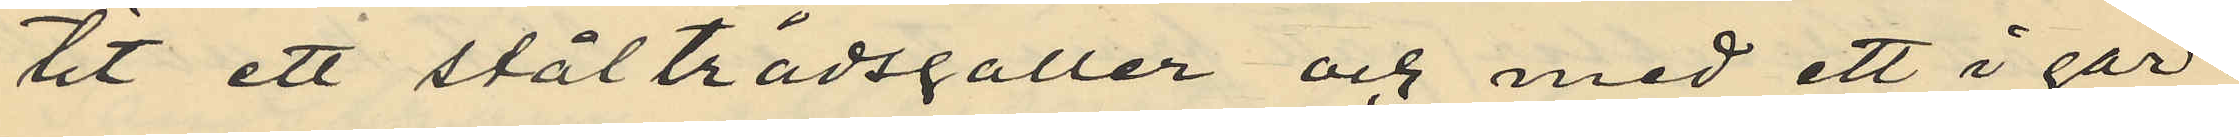tit ett ståltrådsgaller och med ett i går¬
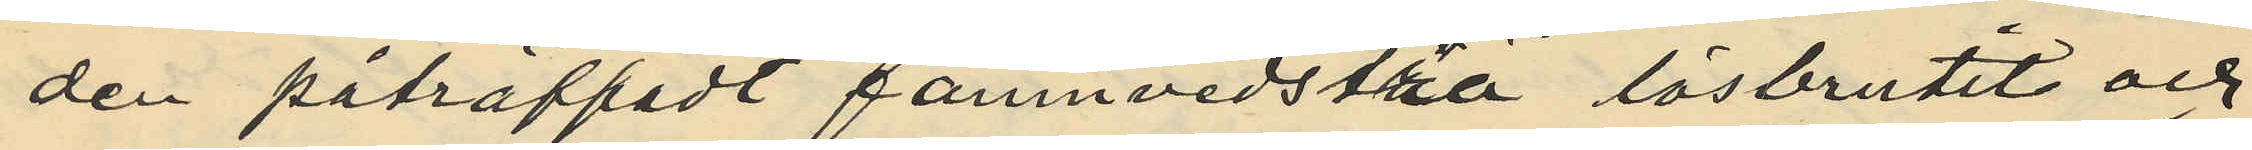den påträffadt famnvedsträ lösbrutit och
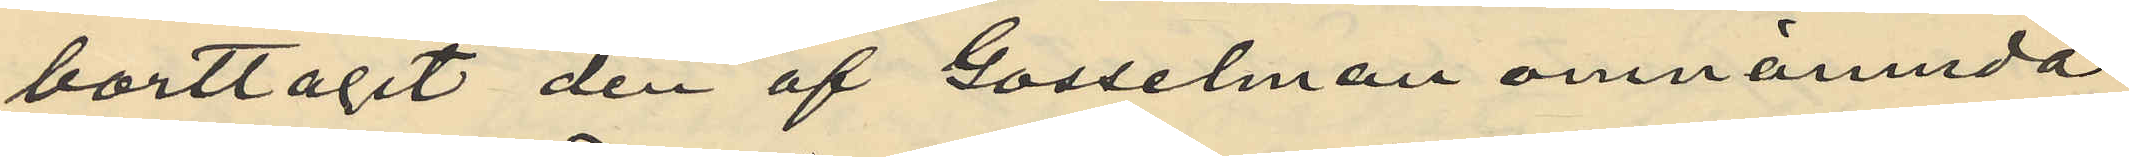borttagit den af Gosselman omnämnda
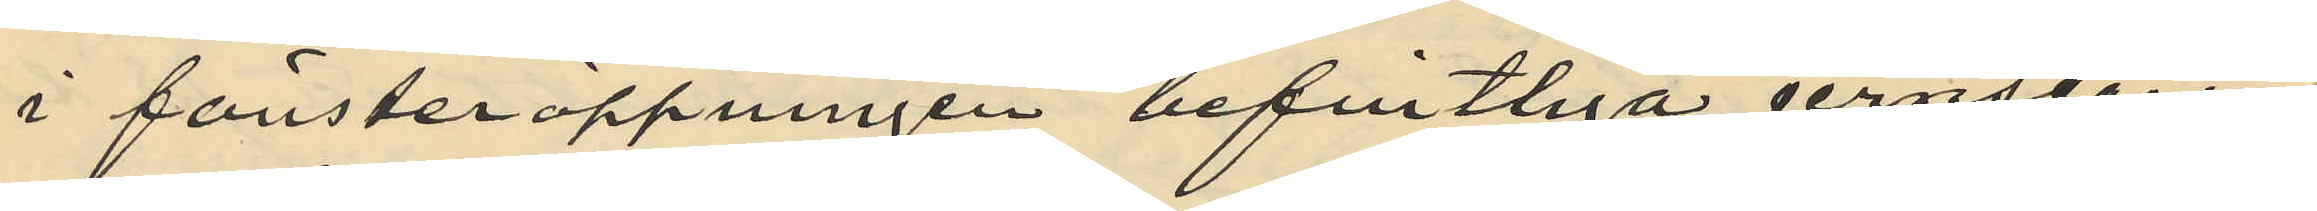i fönsteröppningen befintliga jernstången
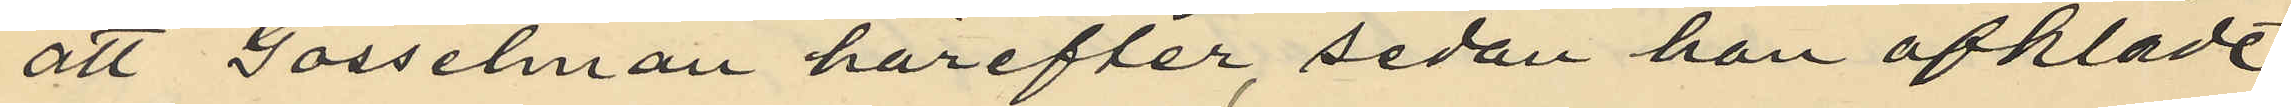att Gosselman härefter, sedan han afklädt
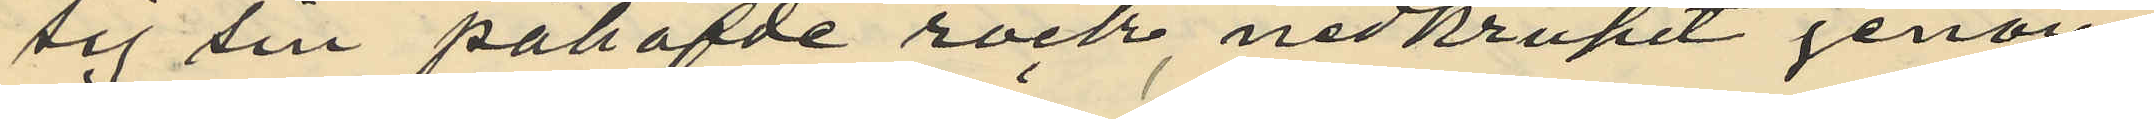sig sin påhafde rock, nedkrupit genom
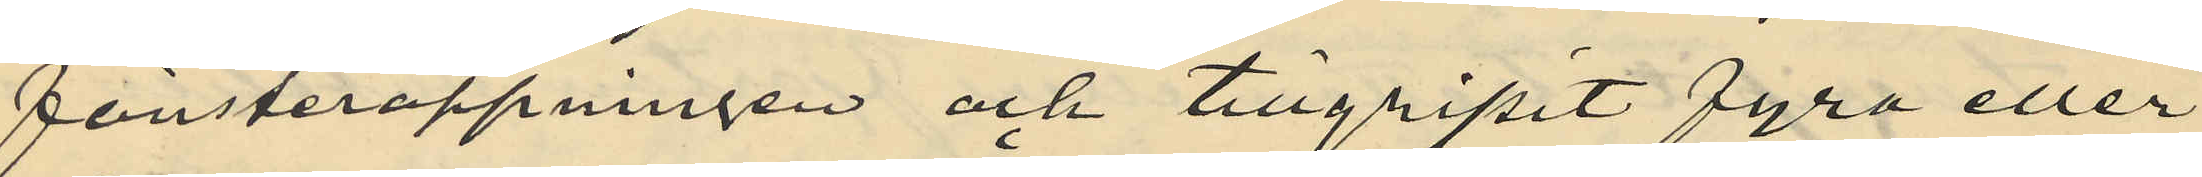fönsteröppningen och tillgripit fyra eller
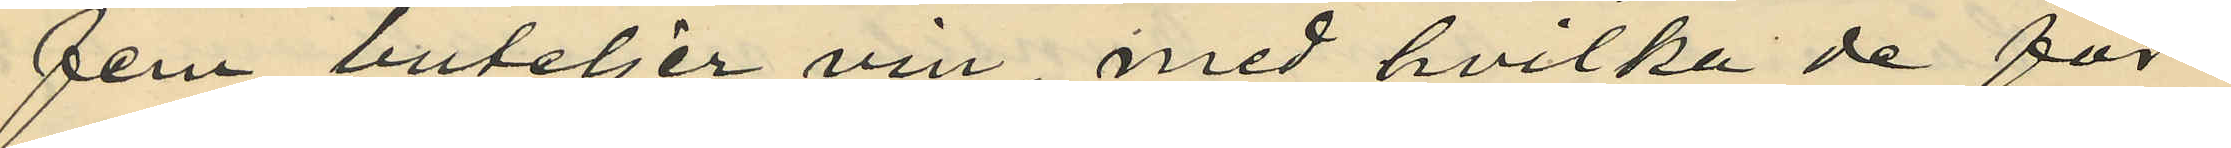fem buteljer vin, med hvilka de för¬
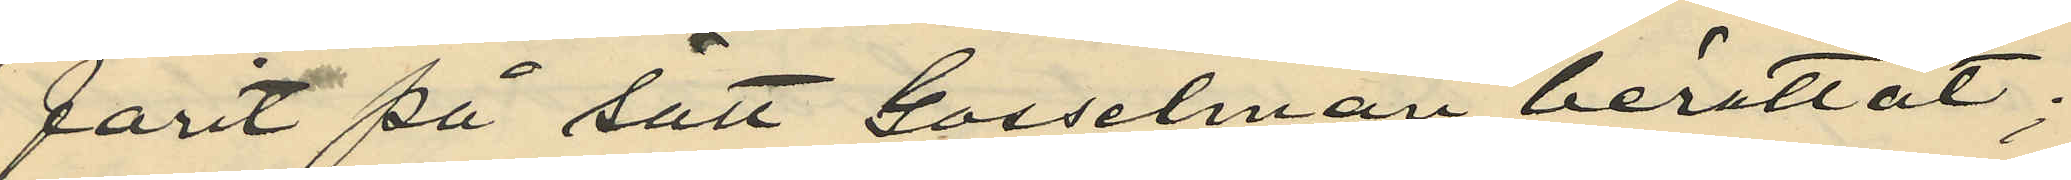farit på sätt Gosselman berättat;
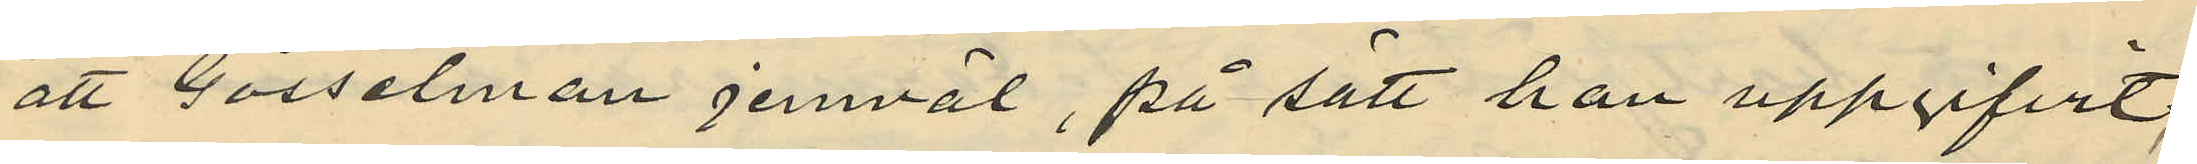att Gosselman jemväl, på sätt han uppgifvit,
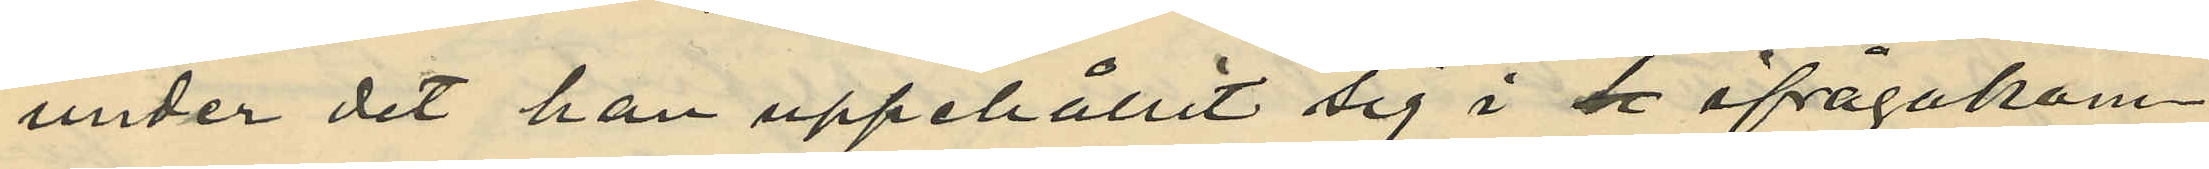under det han uppehållit sig i då ifrågakom¬
